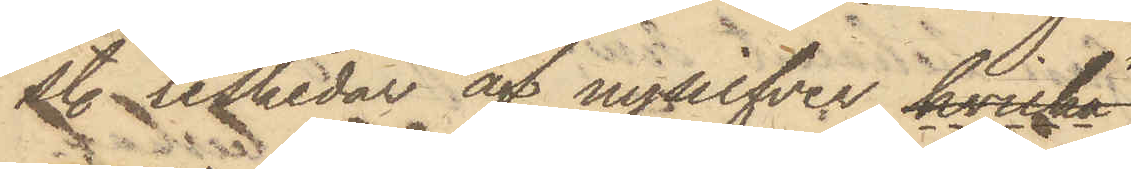st. teskedar af nysilfver, hvilka
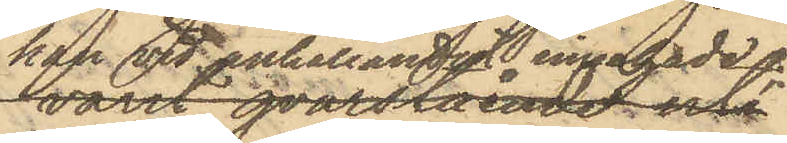han vid anhållandet innehade.
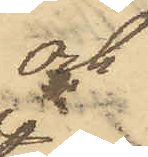och
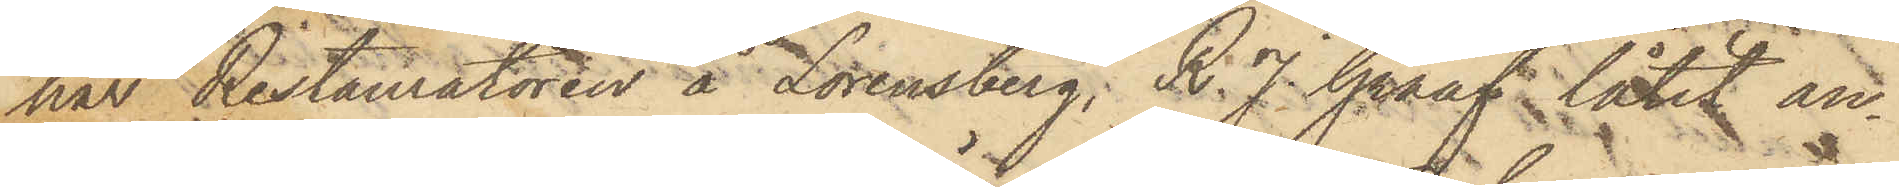har Restauratören å Lorensberg; R. J. Graaf låtit an¬
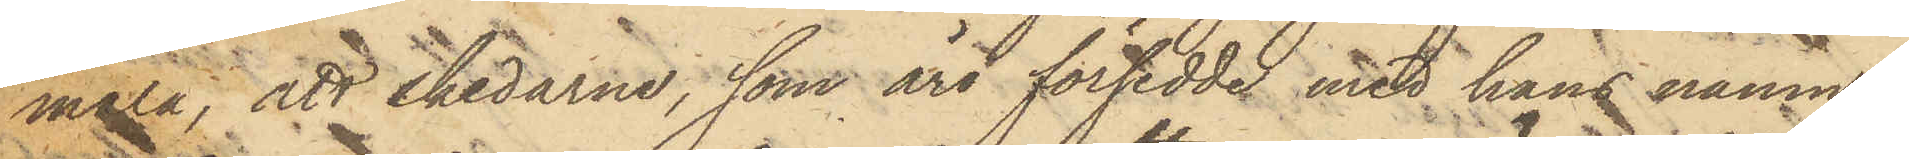mäla, att skedarne, som äro försedde med hans namn,
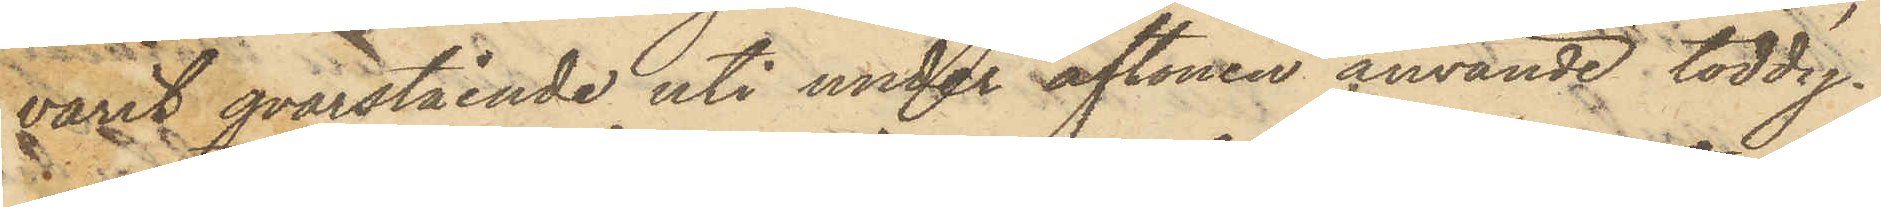varit qvarstående uti under aftonen använde toddy¬
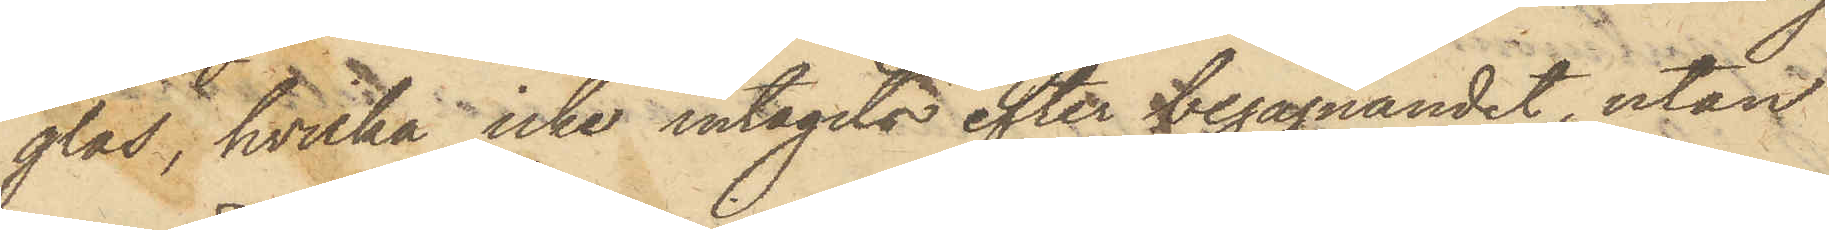glas, hvilka icke intagits efter begagnandet, utan
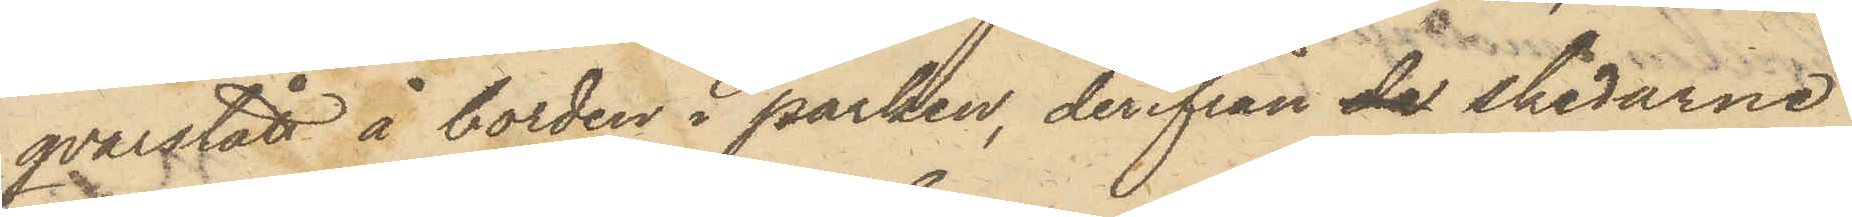qvarstått å borden i parken, derifrån da skedarne
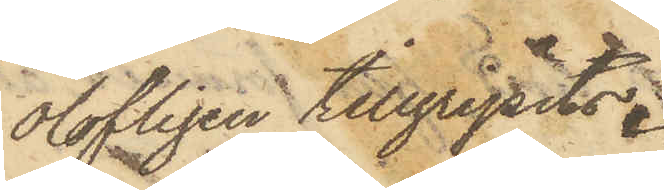olofligen tillgripits.
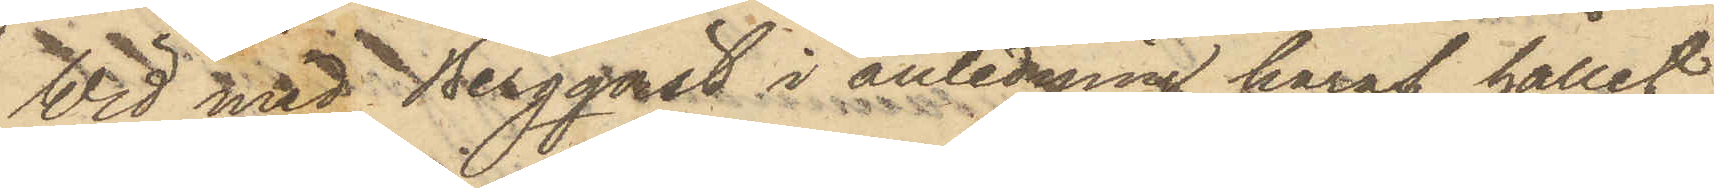Wid med Bergqvist i anledning häraf hållit
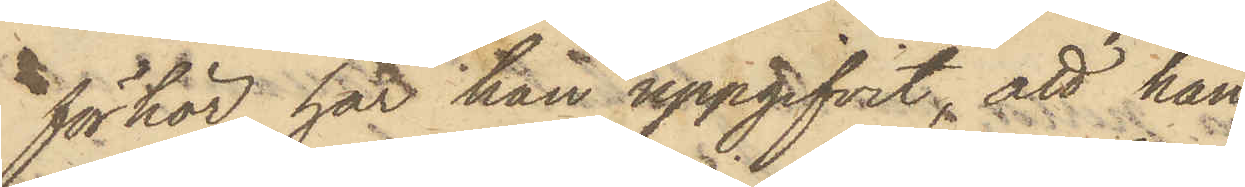förhör har han uppgifvit, att han
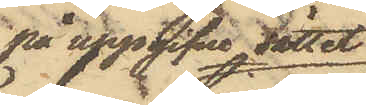på uppgifne sättet
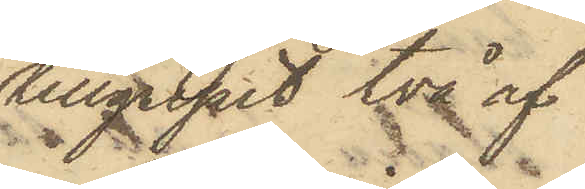tillgripit två af
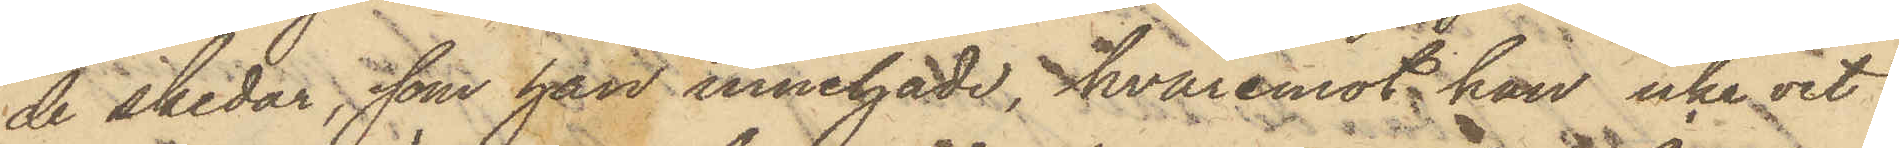de skedar, som han innehade, hvaremot han icke vet
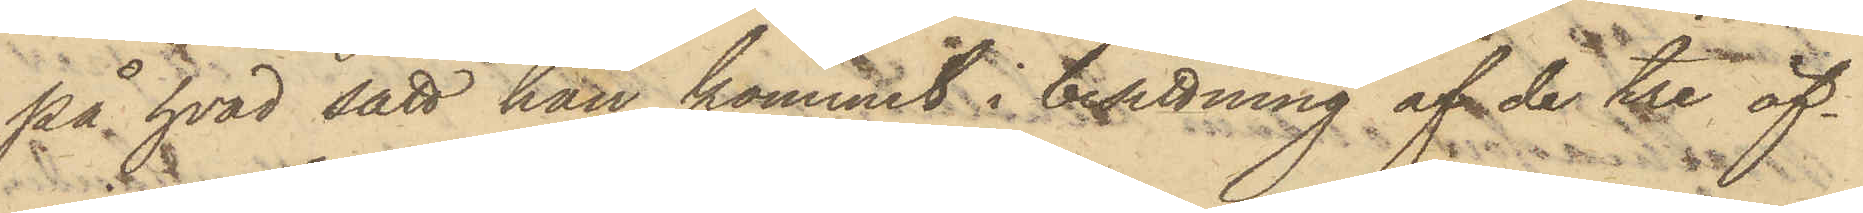på hvad sätt han kommit i besittning af de tre öf¬
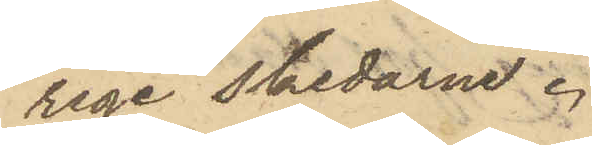rige skedarne.
